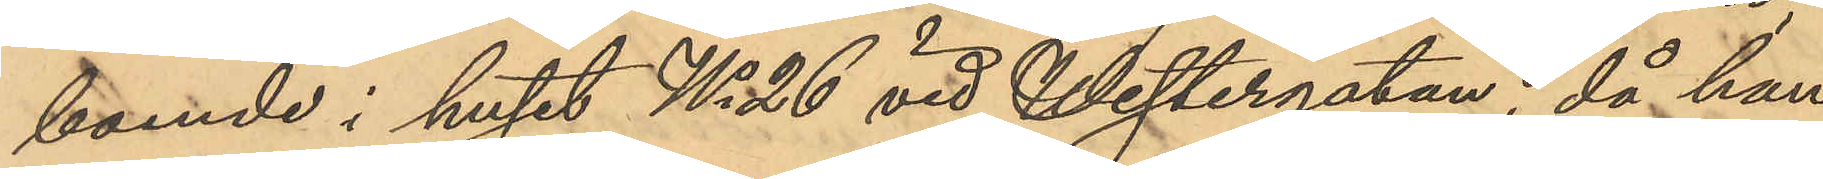boende i huset No 26 vid Westergatan, då han
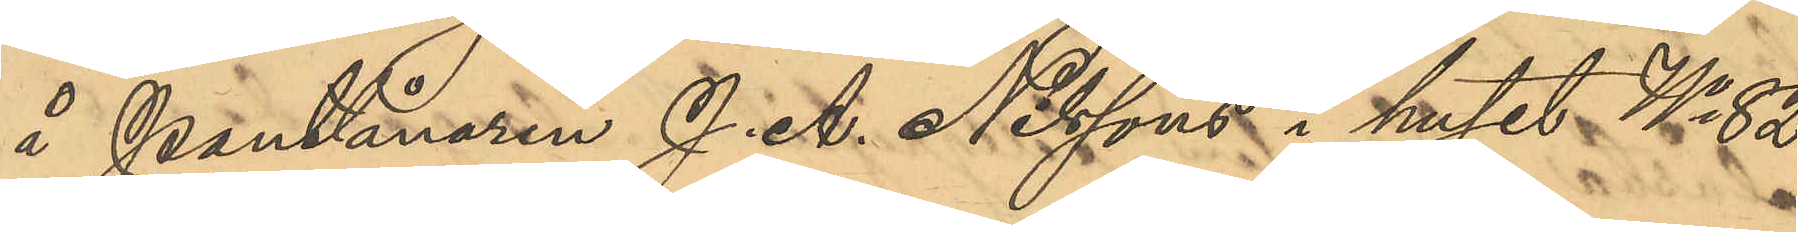å Pantlånaren J. A. Nilssons i huset No 82
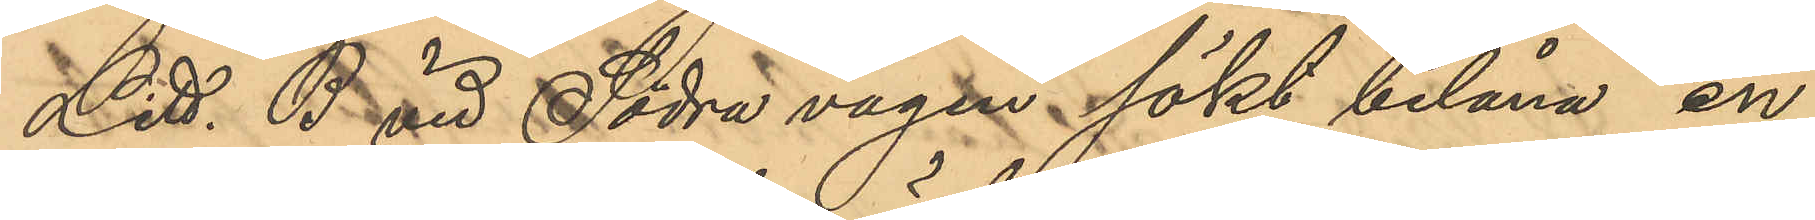Litt. B vid Södra vägen sökt belåna en
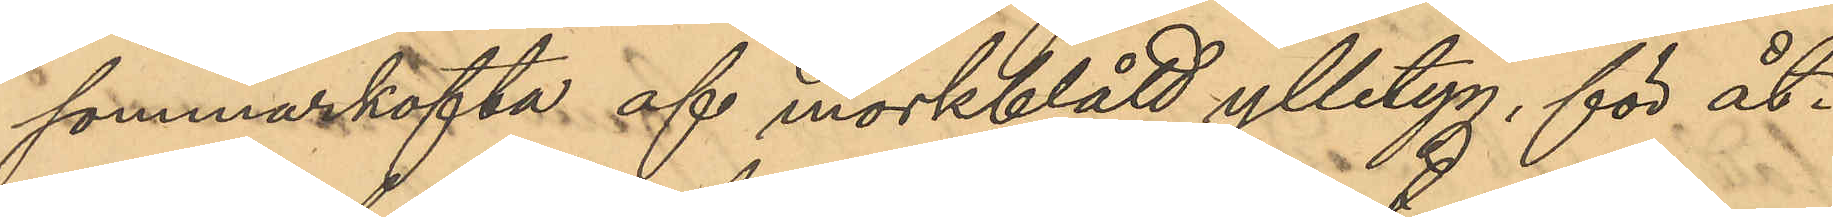sommarkofta af mörkblått ylletyg, för åt¬
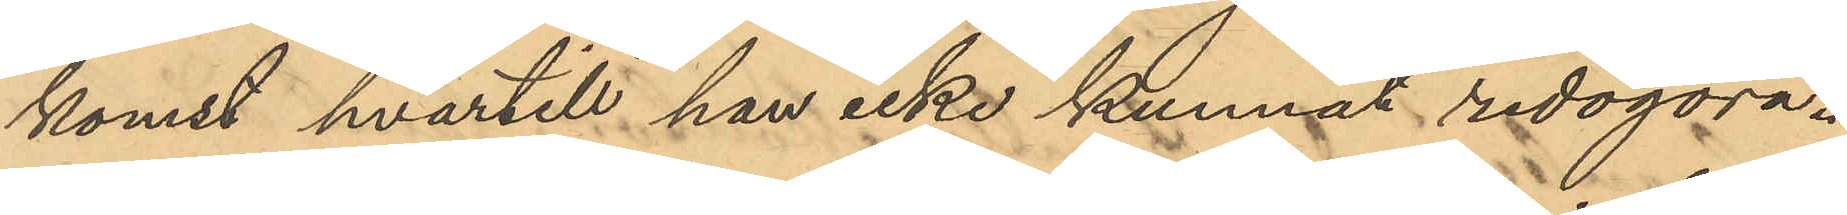komst hvartill han icke kunnat redogöra.
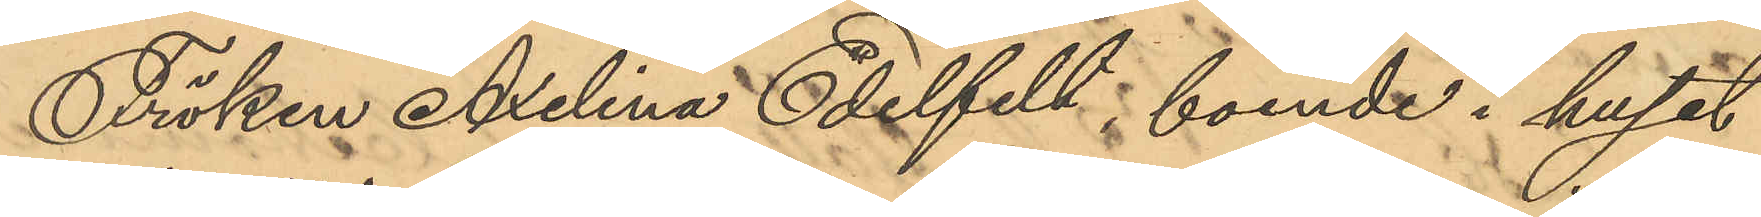Fröken Axelina Edelfelt, boende i huset
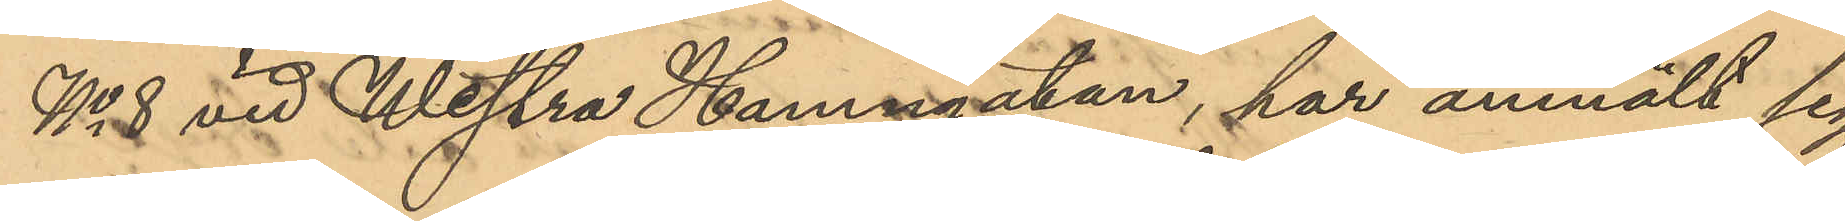No 8 vid Westra Hamngatan, har anmält sig
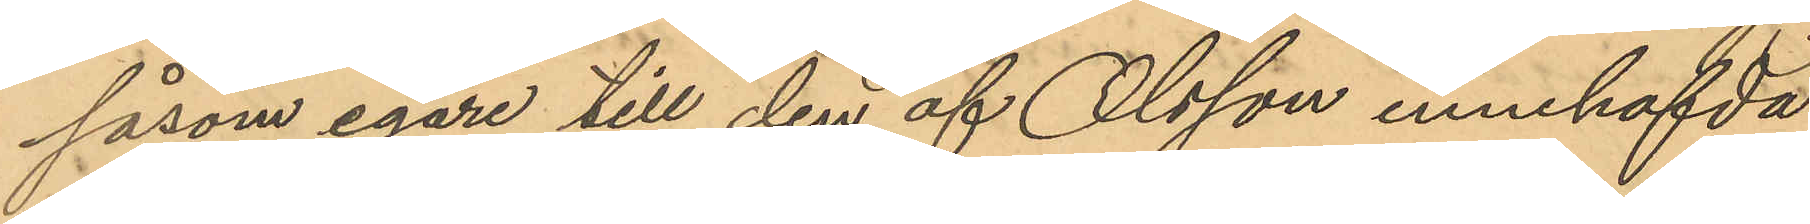såsom egare till den af Olsson innehafvda
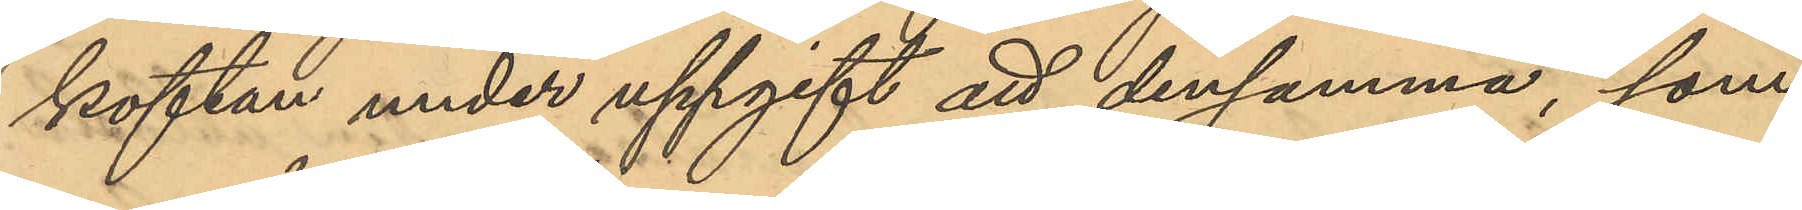koftan under uppgift att densamma, som
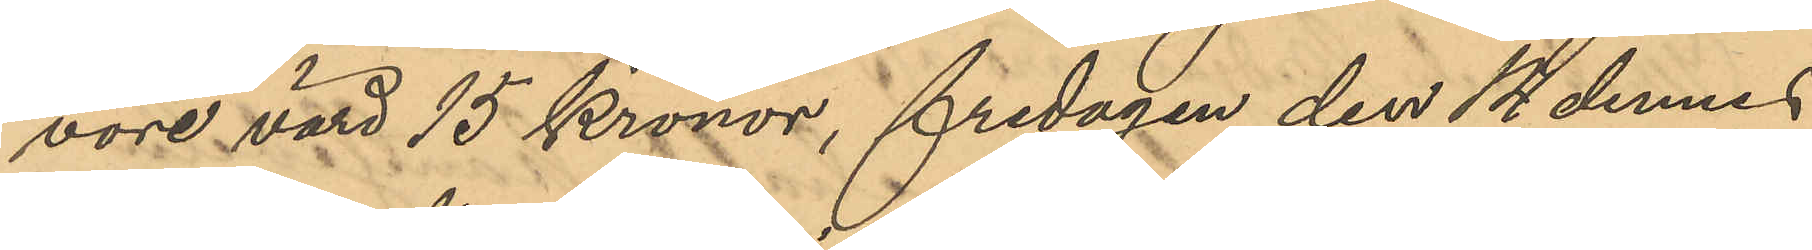vore värd 15 Kronor, fredagen den 14 dennes
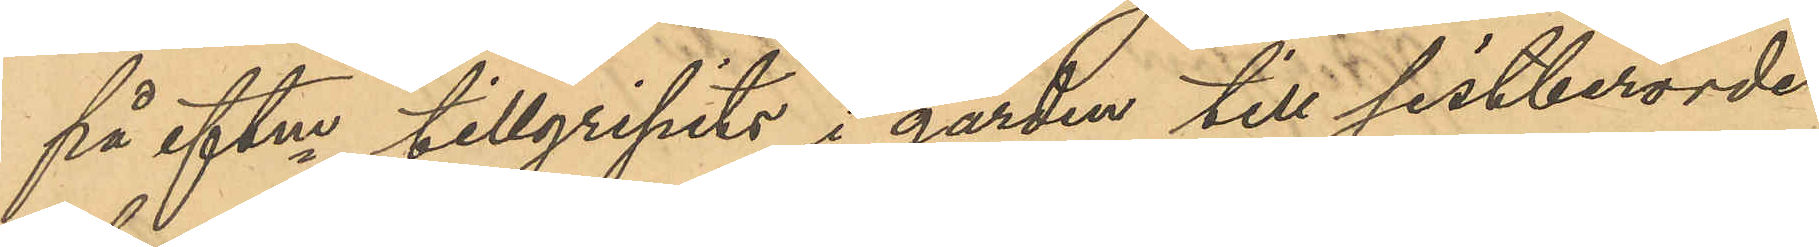på eftm tillgripits i gården till sistberörde
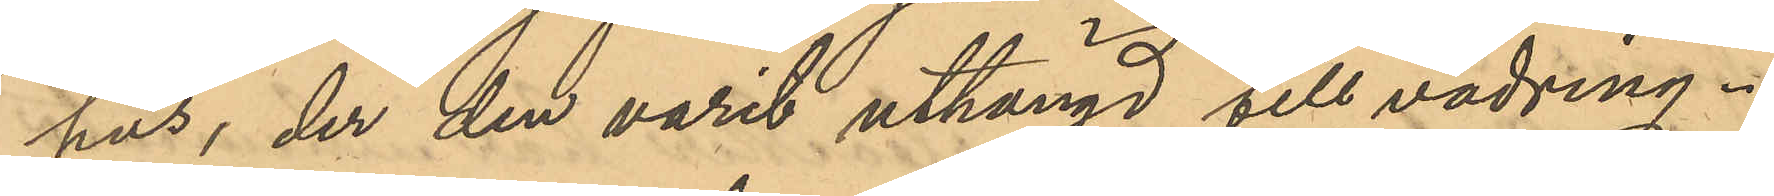hus, der den varit uthängd till vädring.
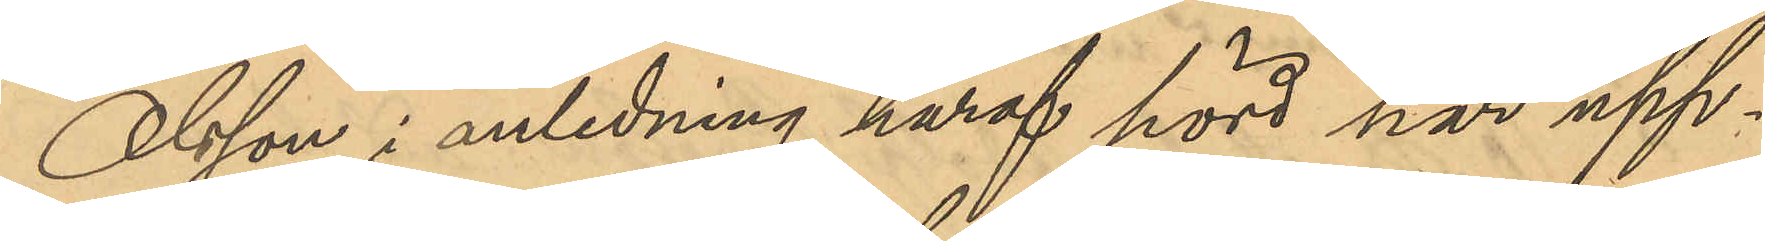Olsson i anledning häraf hörd ha upp¬
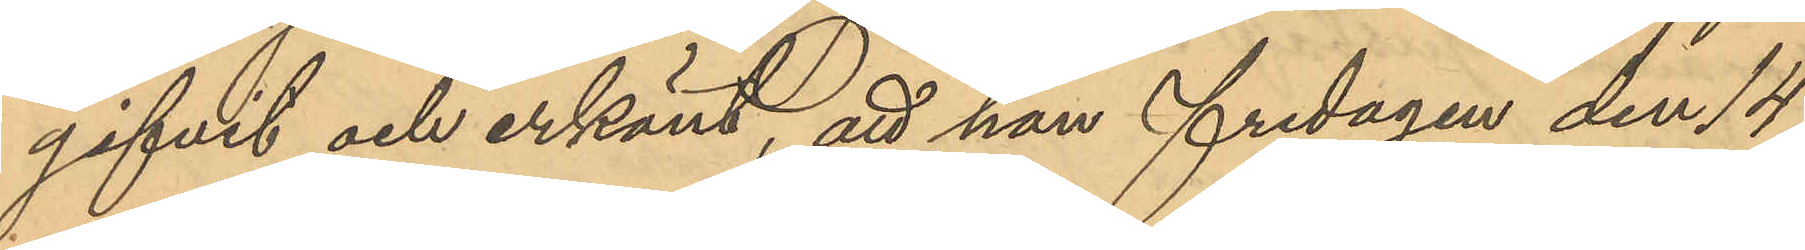gifvit och erkänt, att han fredagen den 14
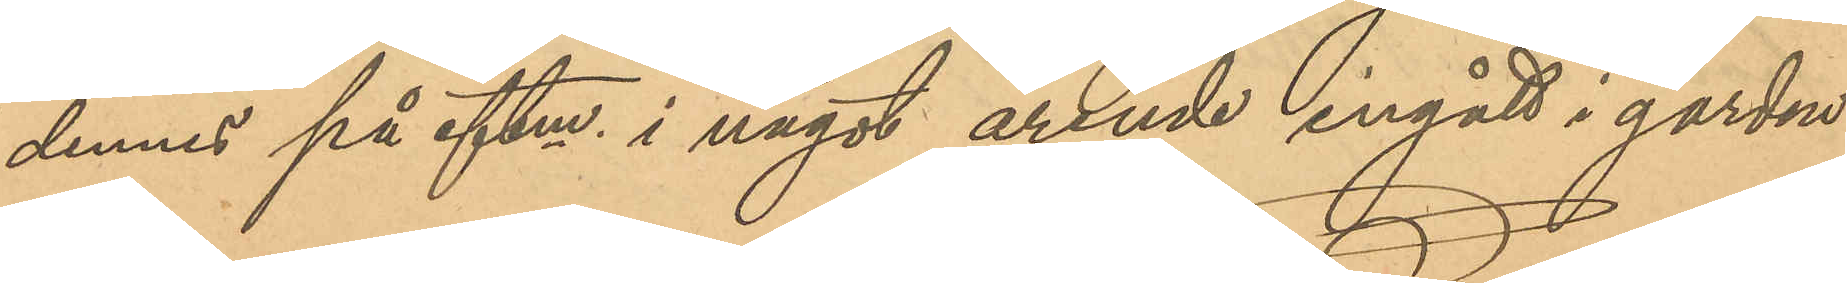dennes på eftm i något ärende ingått i gården
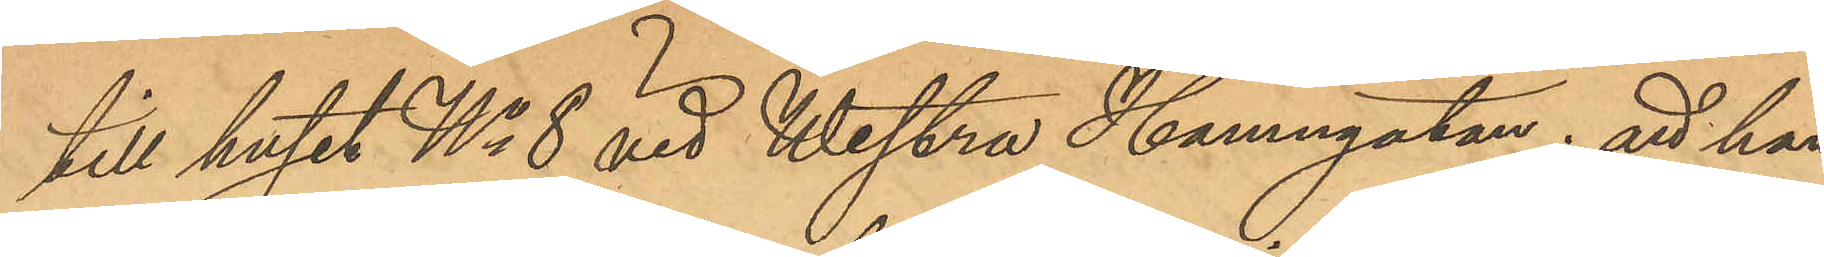till huset No 8 vid Westra Hamngatan; att han
